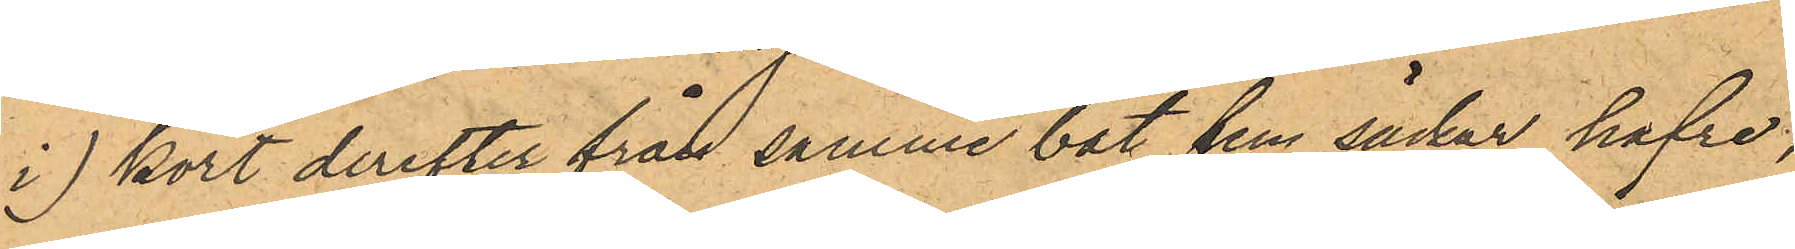i) kort derefter från samme båt fem säckar hafre,
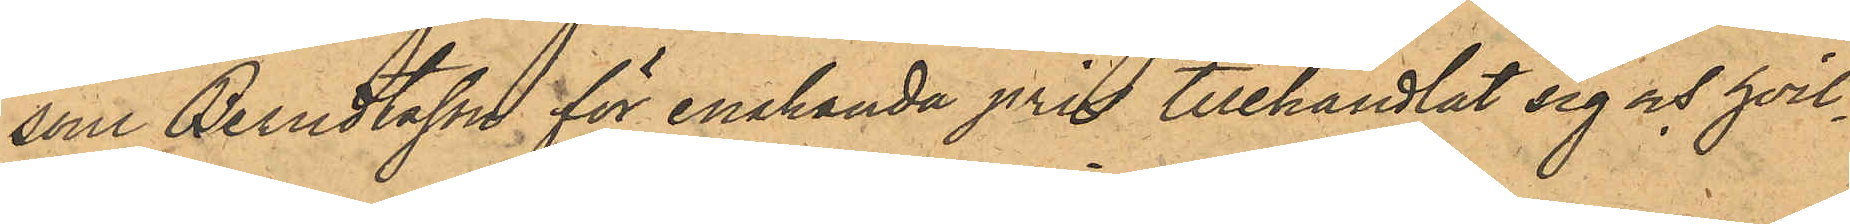som Berndtsson för enahanda pris tillhandlat sig och hvil¬
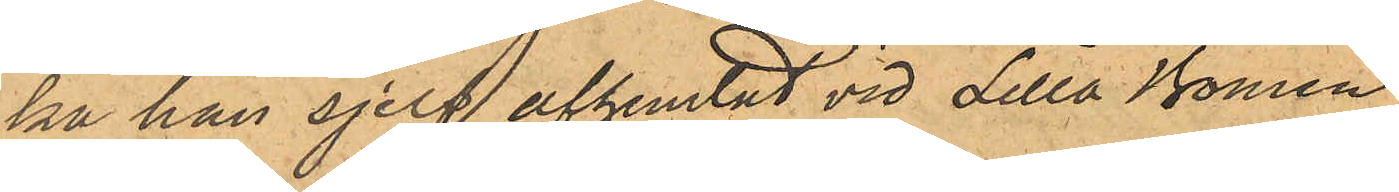ka han sjelf afhemtat vid Lilla Bomen;
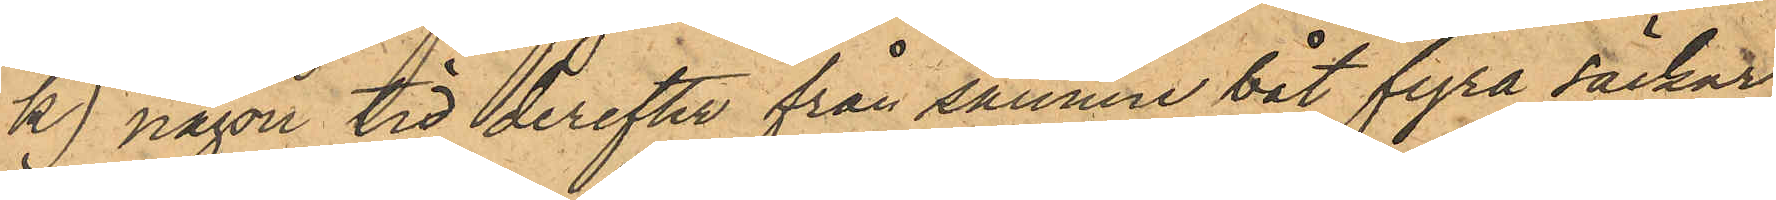k) någon tid derefter från samme båt fyra säckar
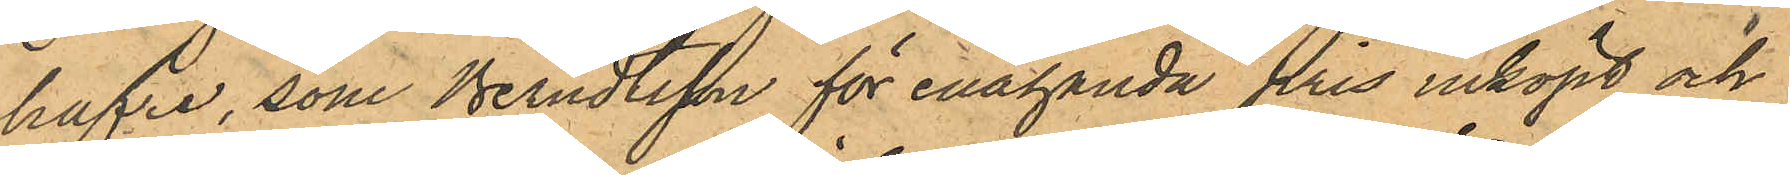hafre, som Berndtsson för enahanda pris inköpt och
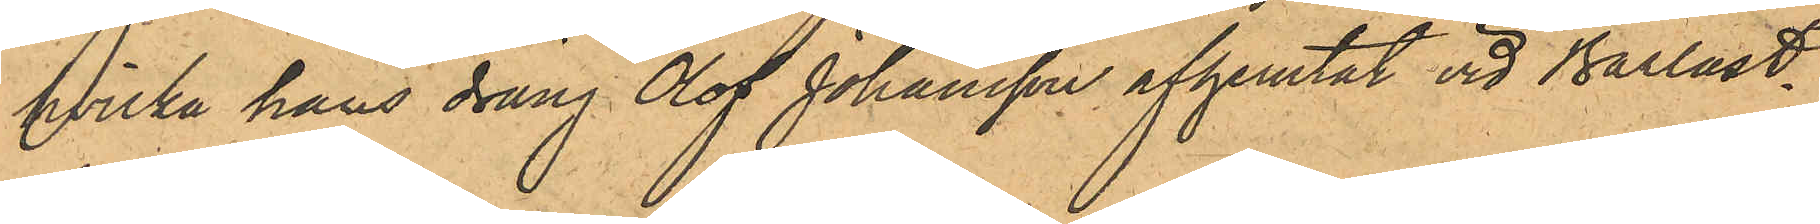hvilka hans dräng Olof Johansson afhemtat vid Barlast¬
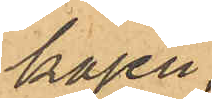kajen;
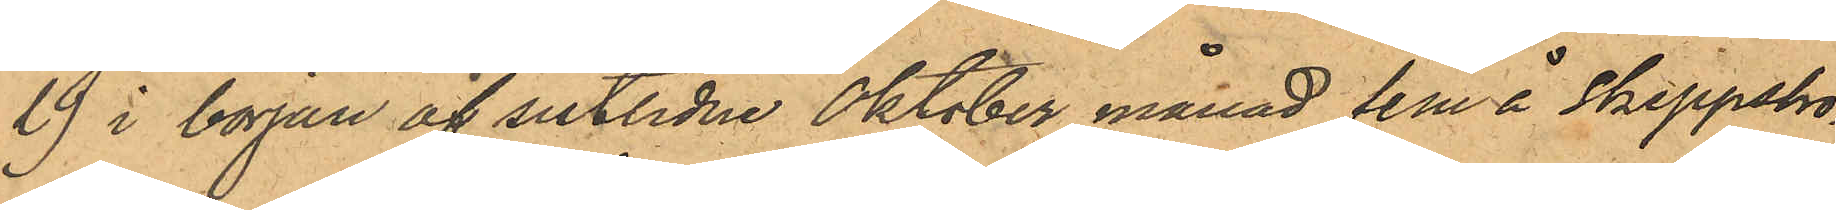l) i början af sistlidne Oktober månad fem å Skeppsbro¬
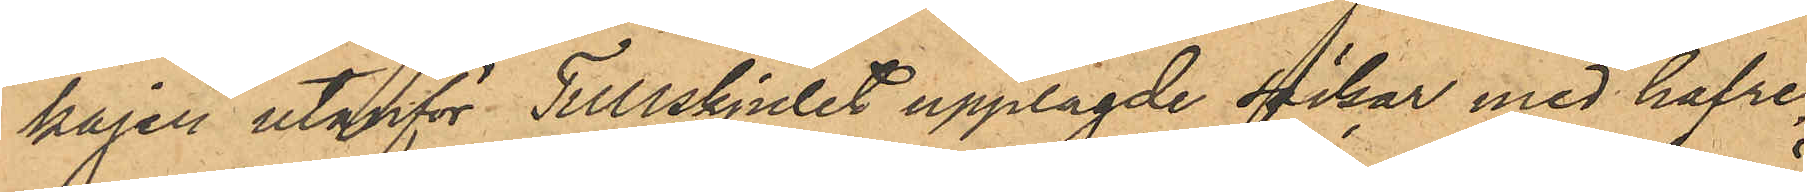kajen utanför Tullskjulet upplagde säckar med hafre,
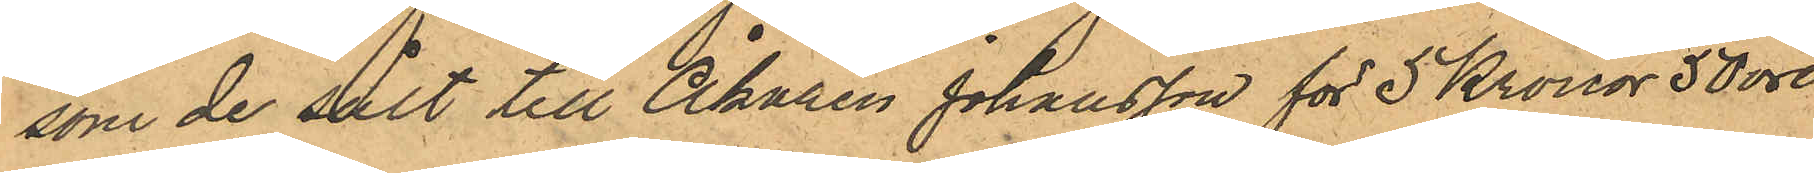som de sålt till Åkaren Johansson för 5 Kronor 50 öre
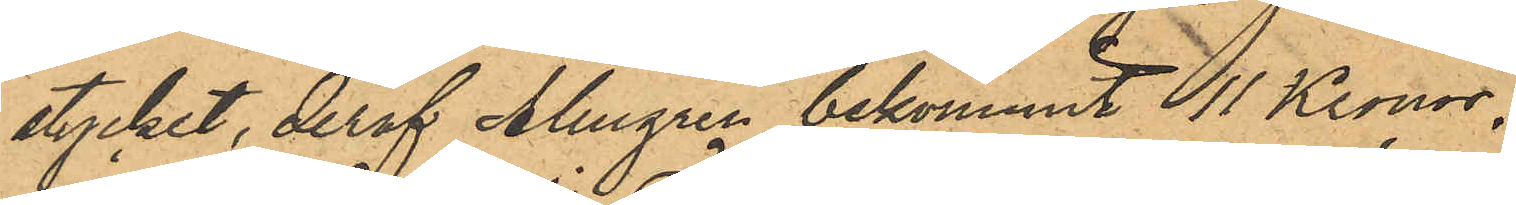stycket, deraf Almgren bekommit 11 Kronor;
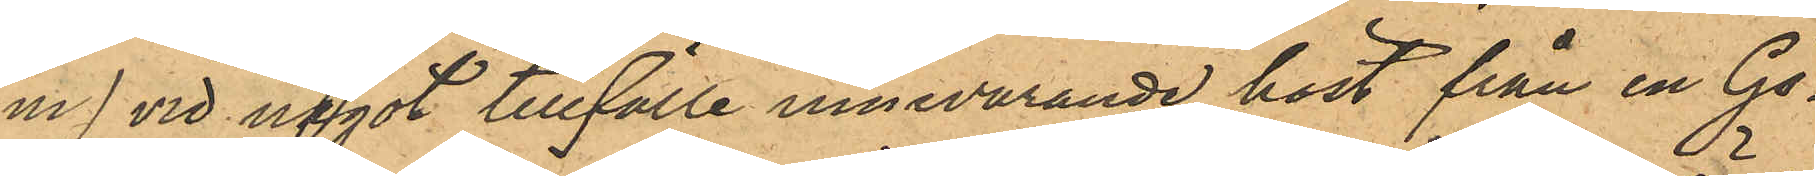m) vid något tillfälle innevarande höst från en Gö¬
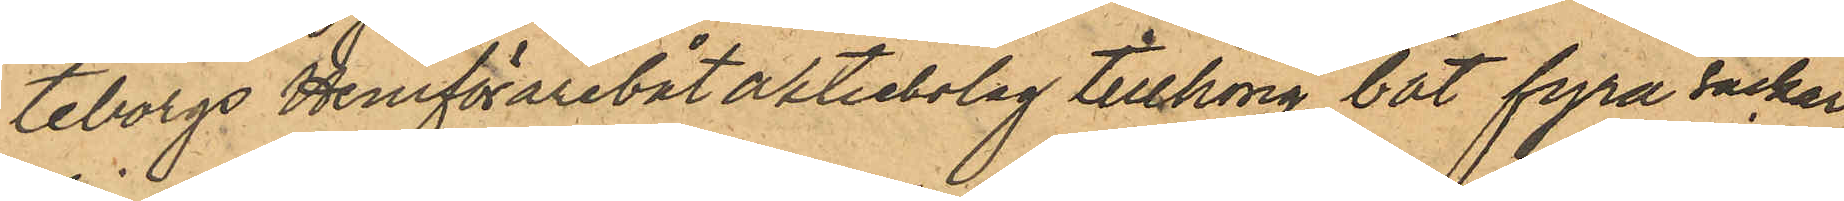teborgs Hemförarebåt aktiebolag tillhörig båt fyra säckar,
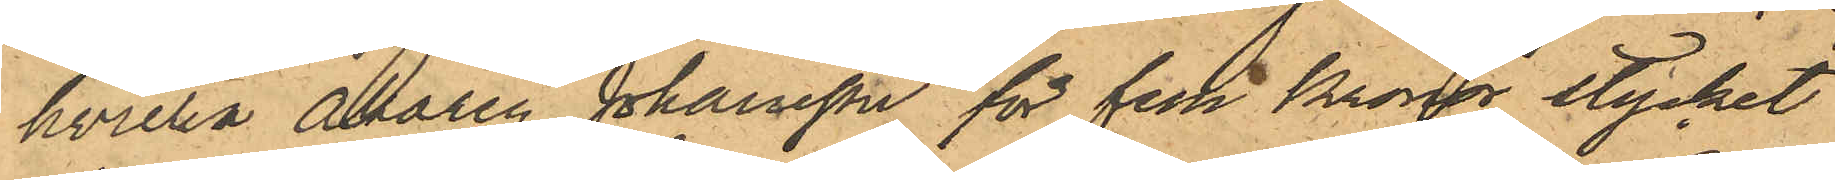hvilka åkaren Johansson för fem Kronor stycket
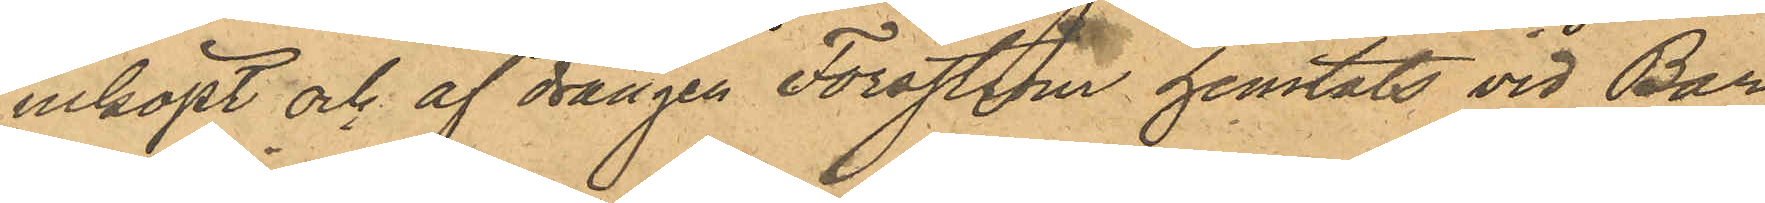inköpt och af drängen Forsström hemtats vid Bar¬
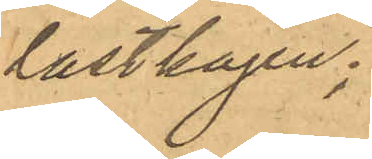lastkajen;
